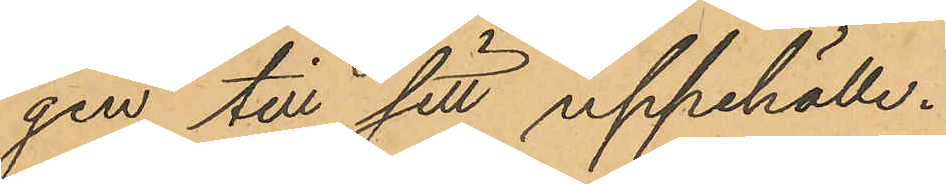gen till sitt uppehälle.
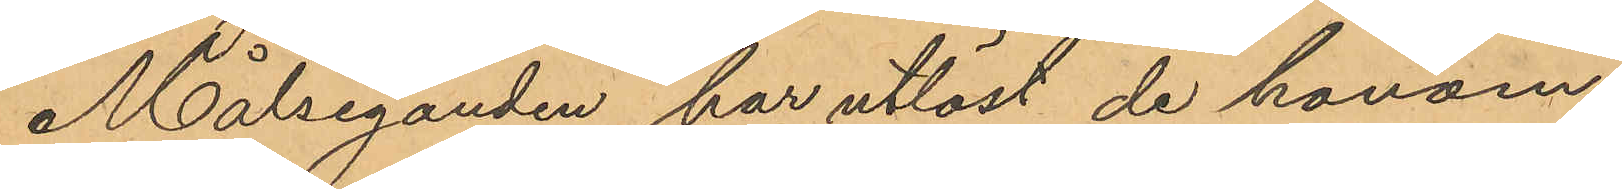Målseganden har utlöst de honom
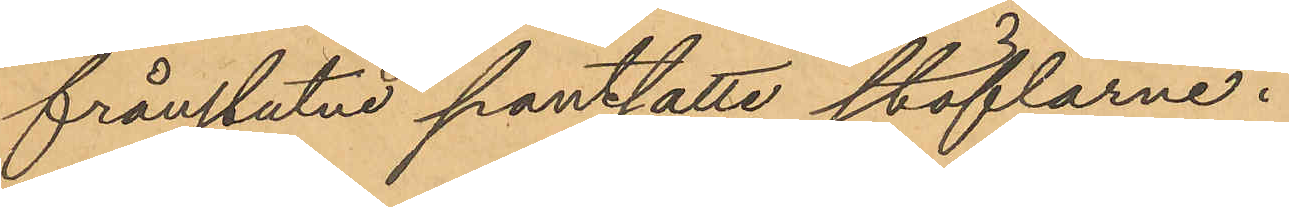frånstutne pantsatte stöflarne.
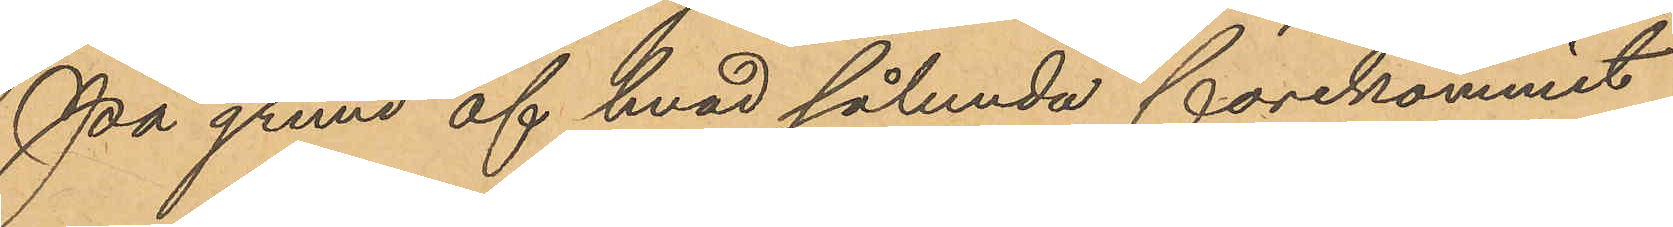På grund af hvad sålunda förekommit
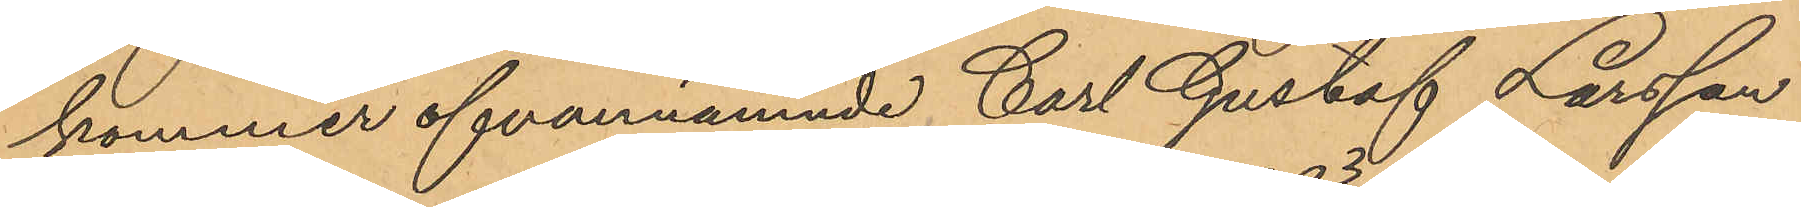kommer ofvannämnde Carl Gustaf Larsson
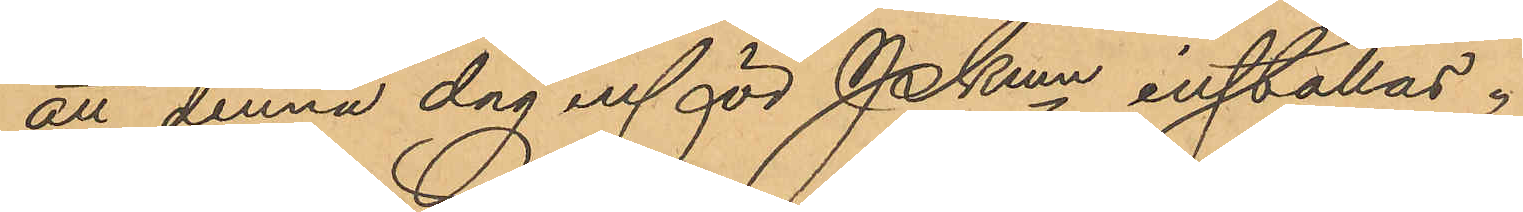att denna dag inför Pkmn inställas.
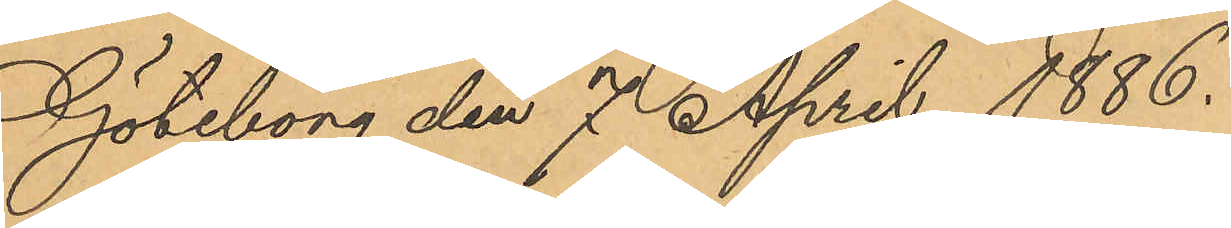Göteborg den 7 April 1886.
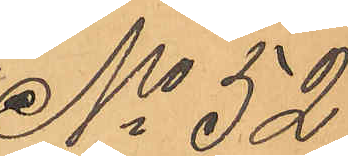No 52
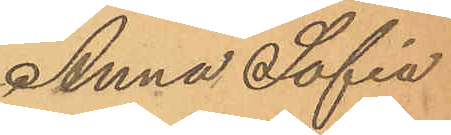Anna Sofia.
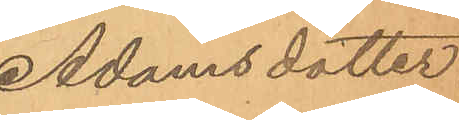Adamsdotter
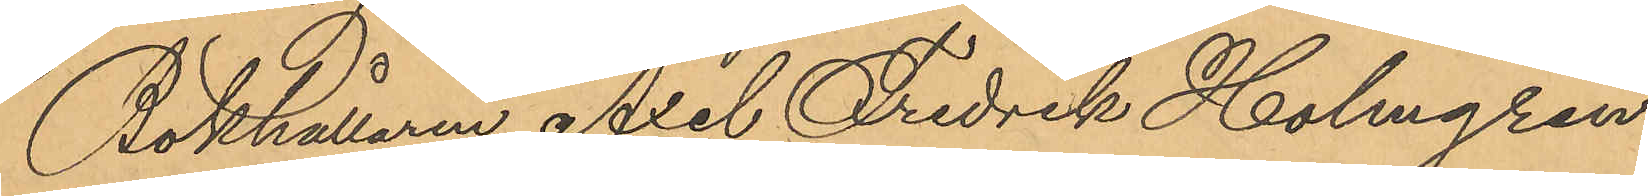Bokhållaren Axel Fredrik Holmgren,
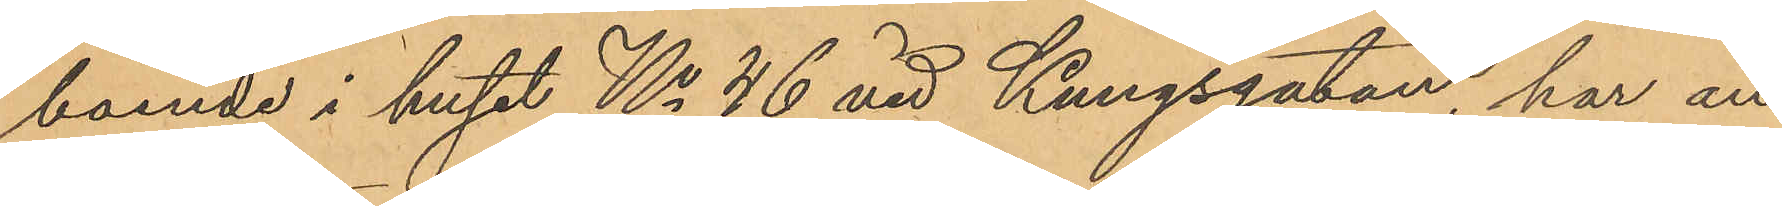boende i huset No 46 vid Kungsgatan, har an¬
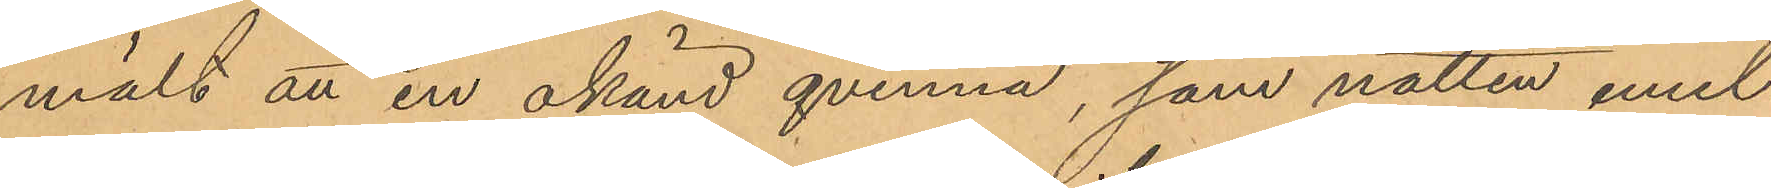mält att en okänd qvinna, som natten emel¬
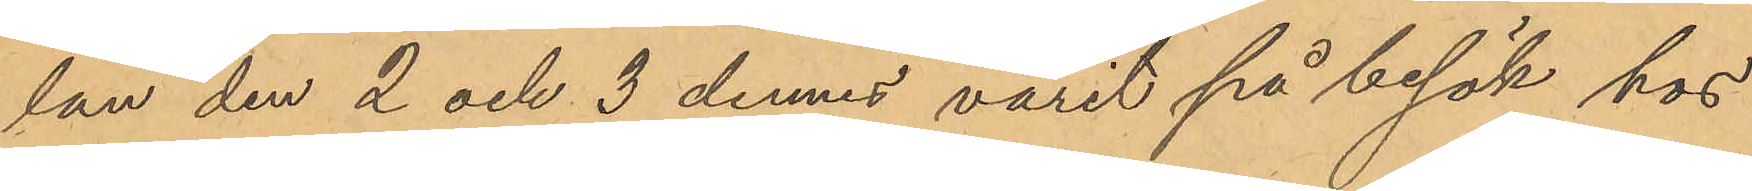lan den 2 och 3 dennes varit på besök hos
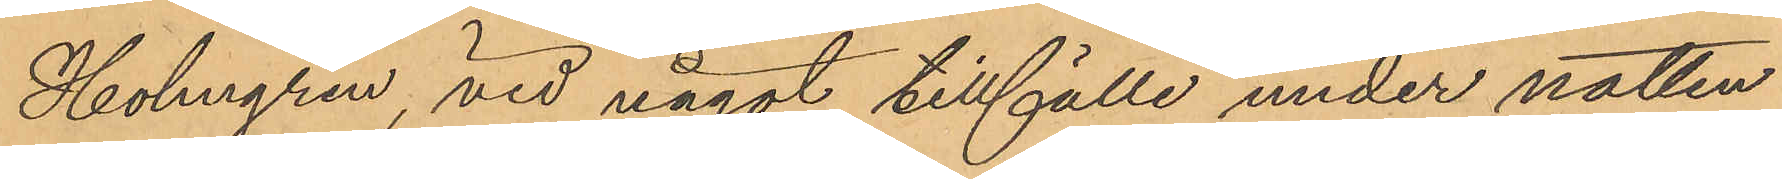Holmgren, vid något tillfälle under natten
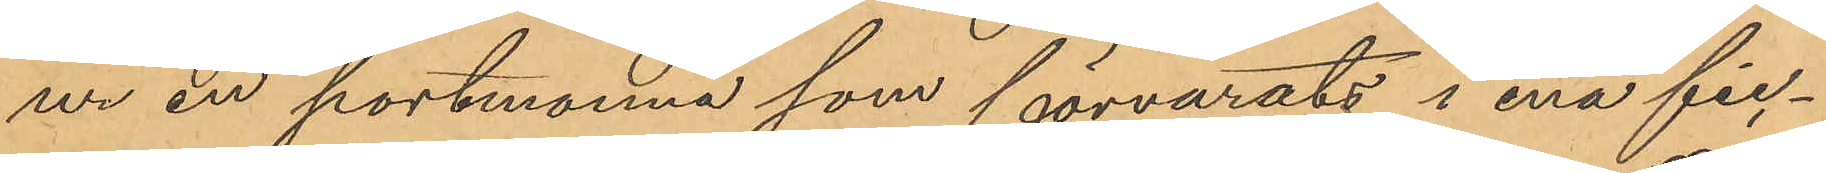ur en portmonnä som förvarats i ena fic¬
